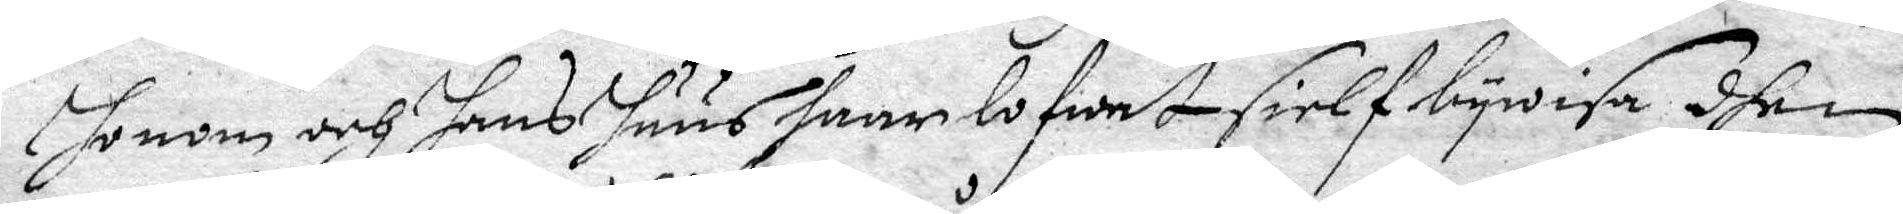honom och hans huus haar lofwat sielf bywisa dhen
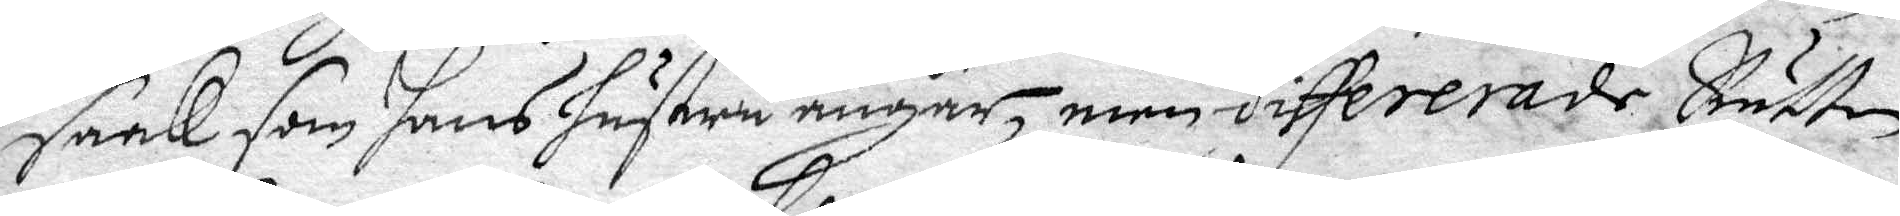saak som hans hustru angår, med differerade Rätten
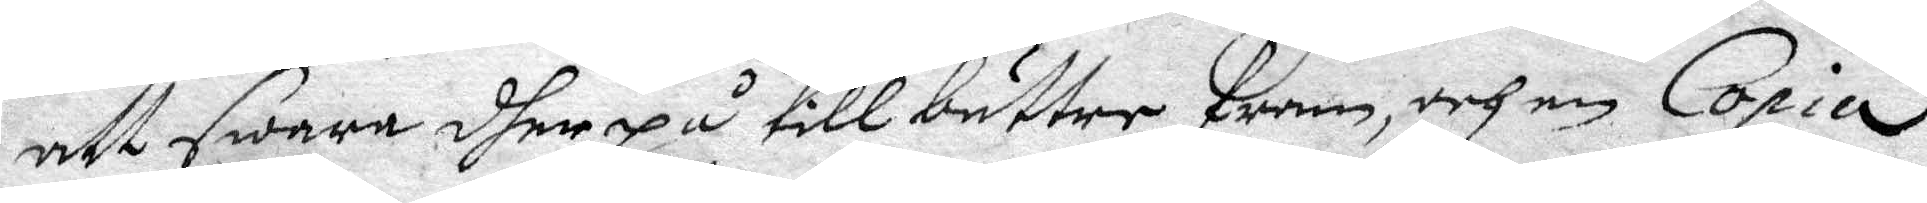att swara dherpå till bättre fram, och en Copia
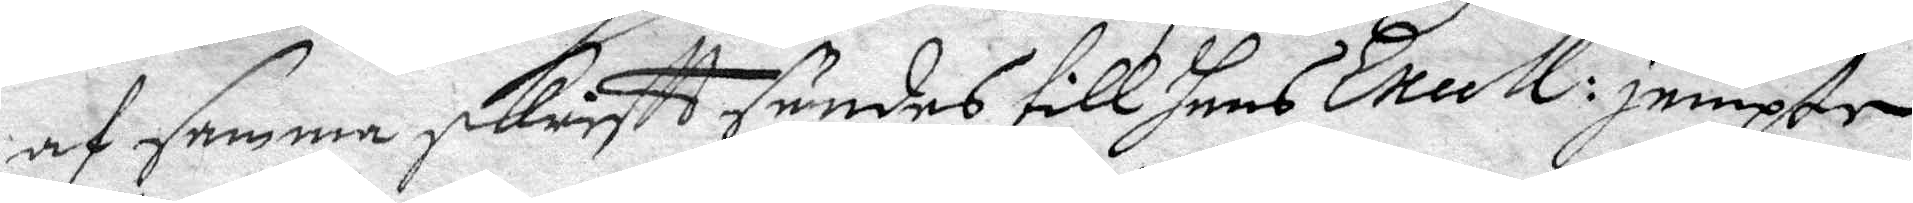af samma skriftt sändes till hans Excell: jempte
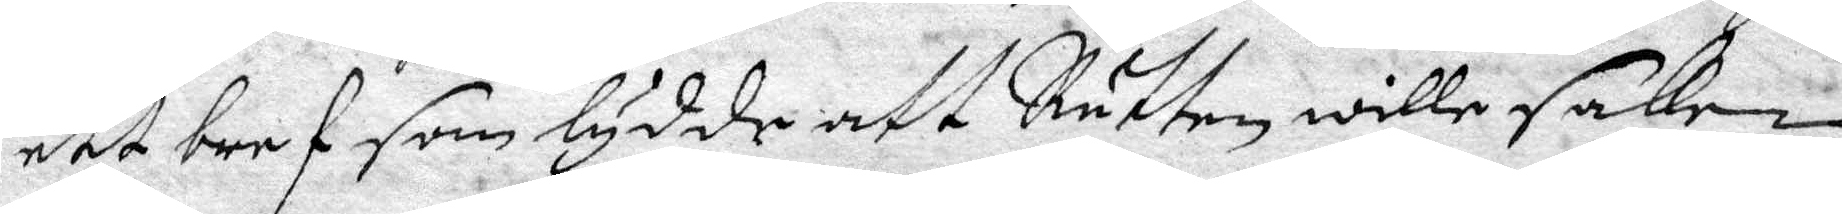ett bref som lydde att Rätten wille saken
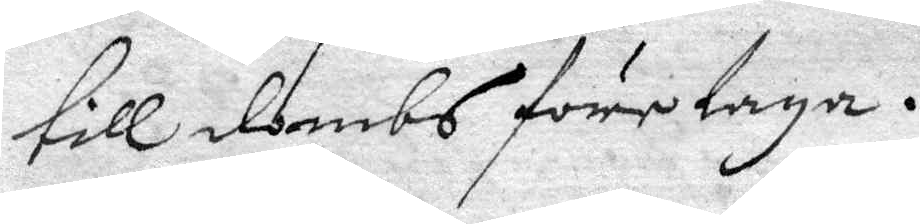till dombs företaga.
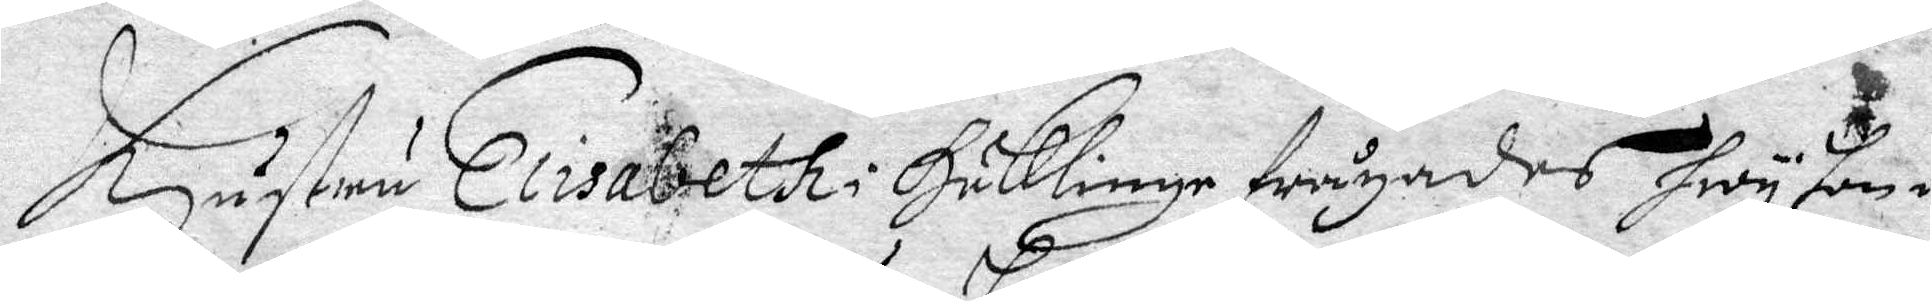Hustru Elisabeth i Häklinge frågades hwy hon i¬
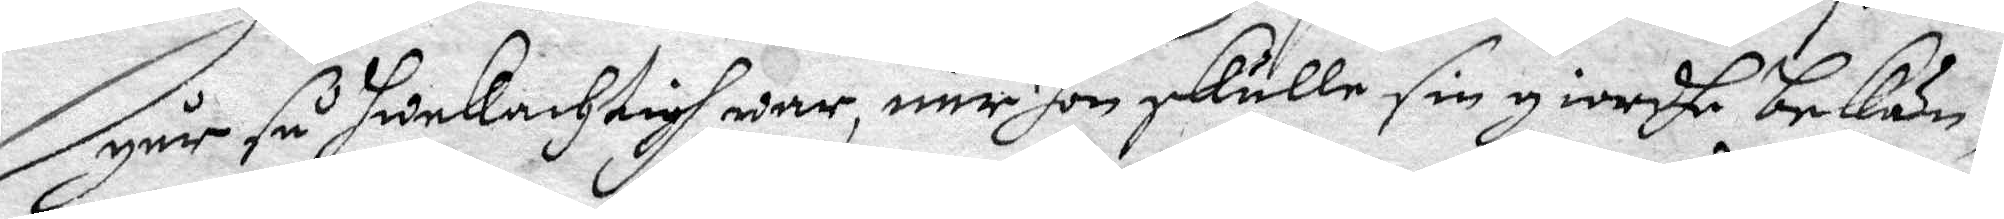går så swekachtigh war, när hon skulle sin giordhe bekän¬
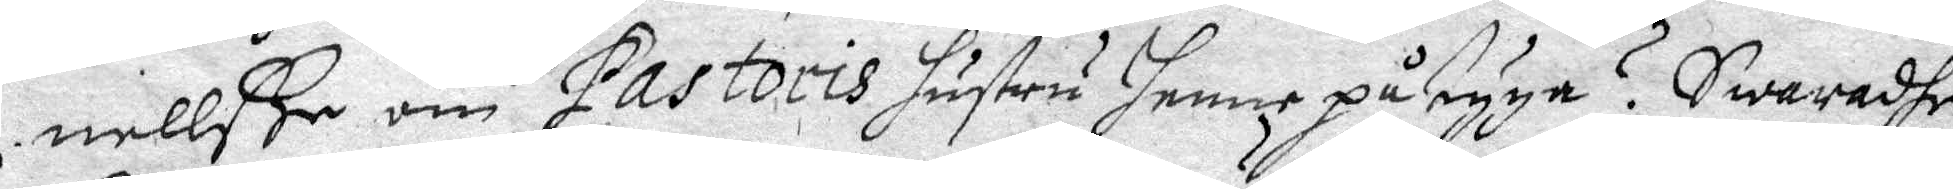nellße om Pastoris hsurtu henne påtyga? Swaradhe
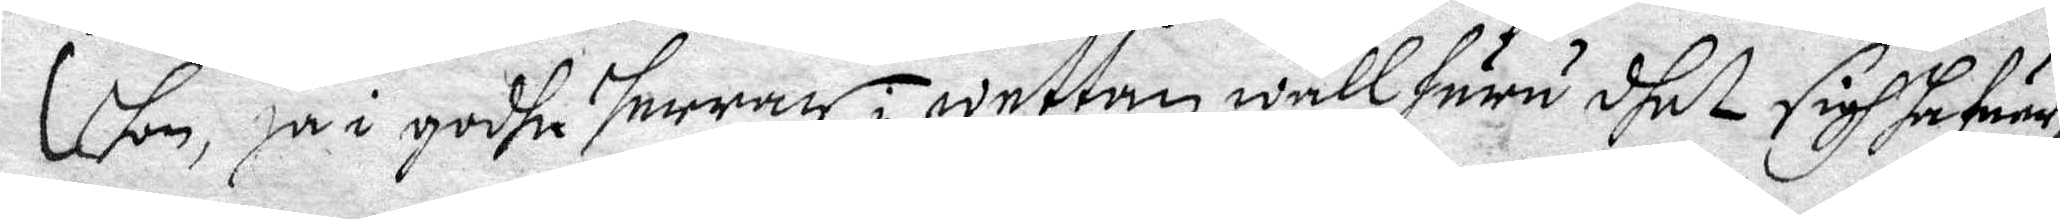hon, ja i godhe herrar i wetten wäll huru dhet sigh hafuer,
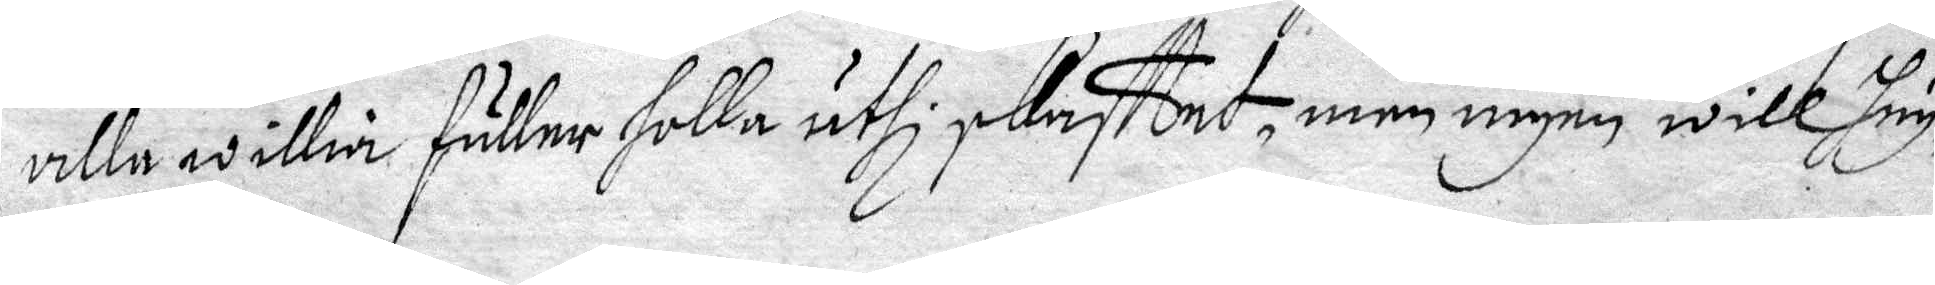alla willia fuller folla uthi skafttet, men ingen will hug¬
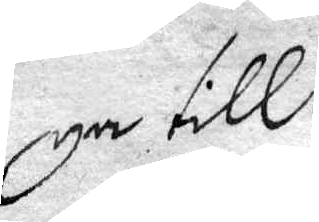ga till.
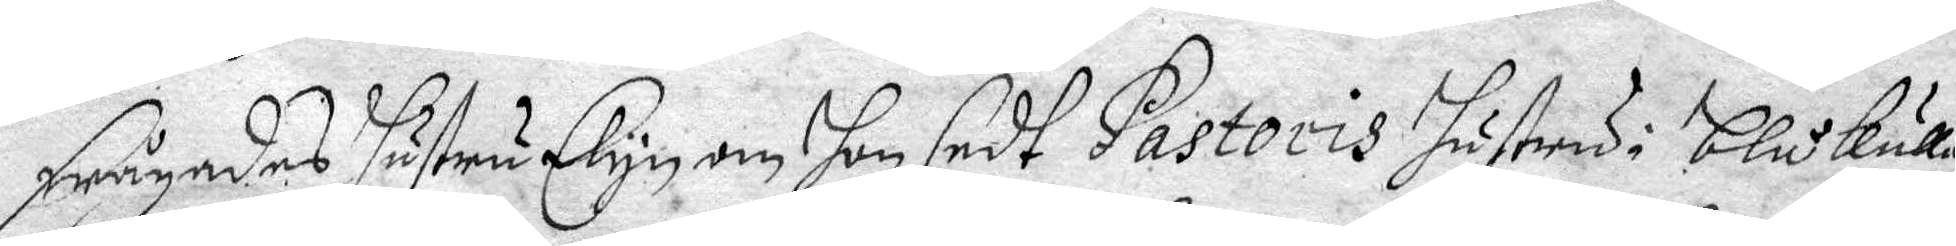Frågades hustru Elyn om hon sedt Pastoris hustru i blåkulla
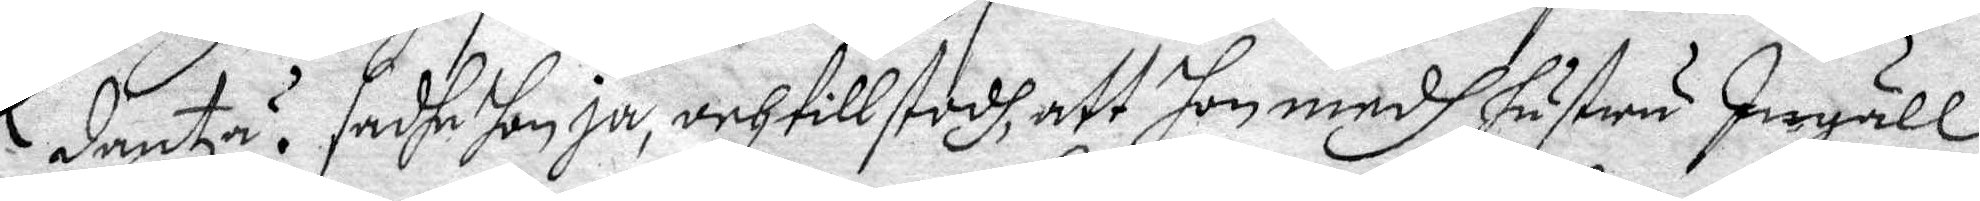dantza? sadhe hon ja, och tillstodh, att hon medh hustru Ingäll
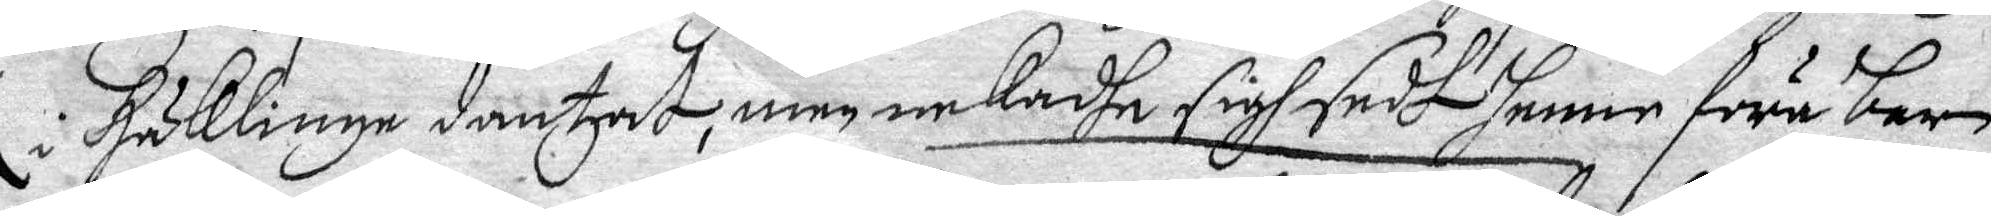i Häklinge dantzat, men nekadhe sigh sedt henne föra barn
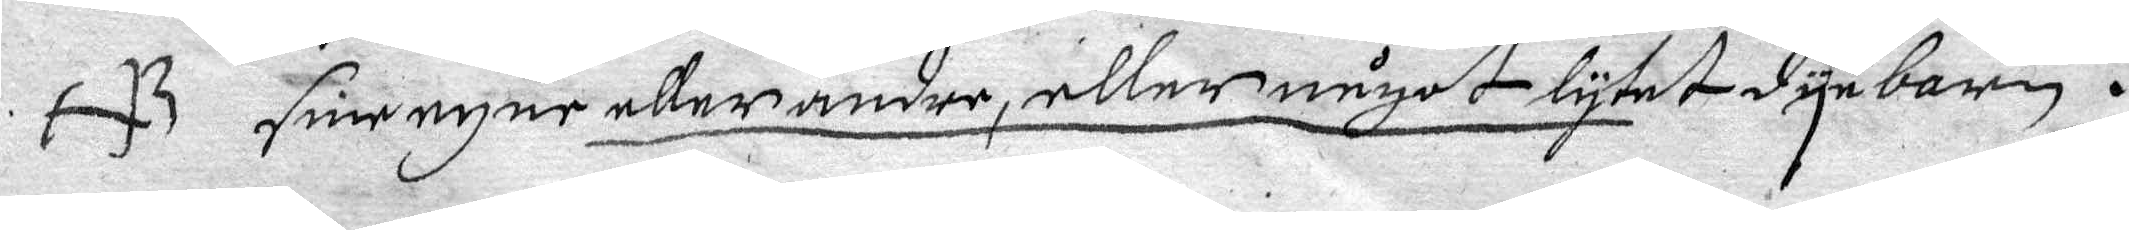sine ehne eller andre, eller något lytet dyebarn.
